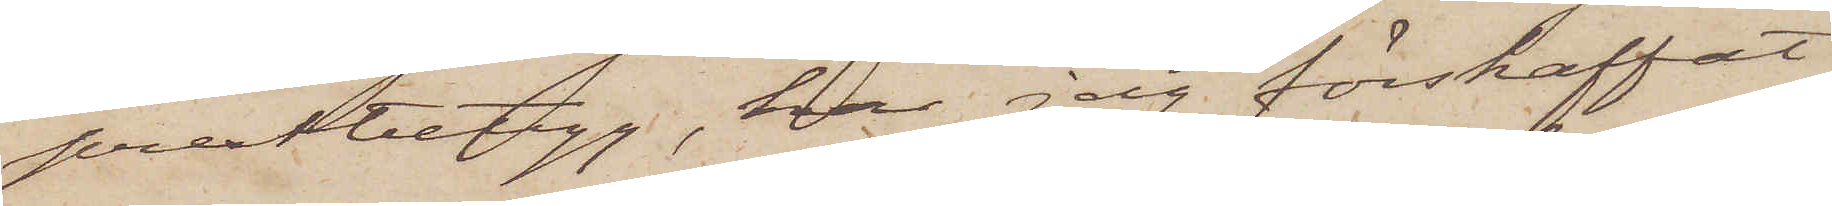prestbetyg, har jag förskaffat
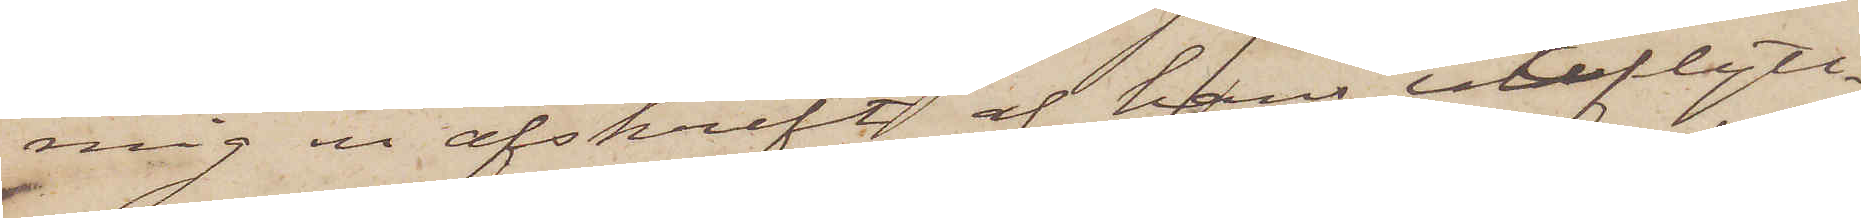mig en afskrift af hans utflytt¬
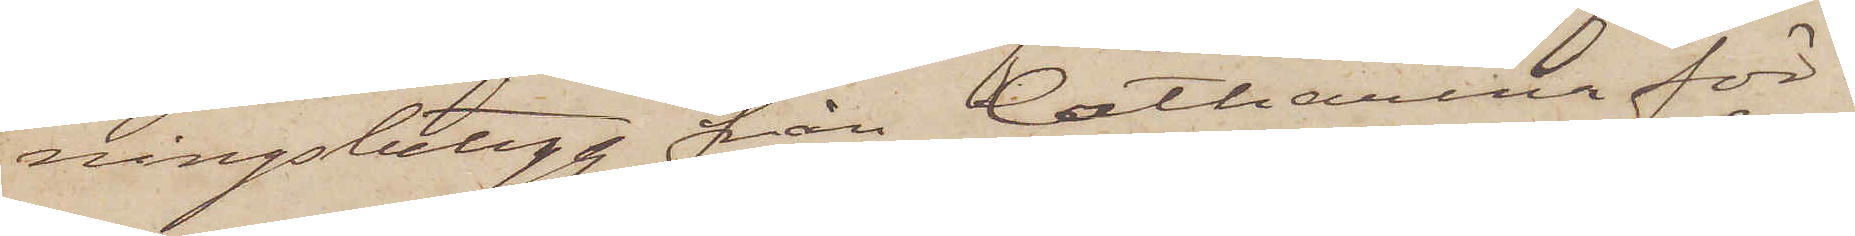ningsbetyg från Catharina för¬
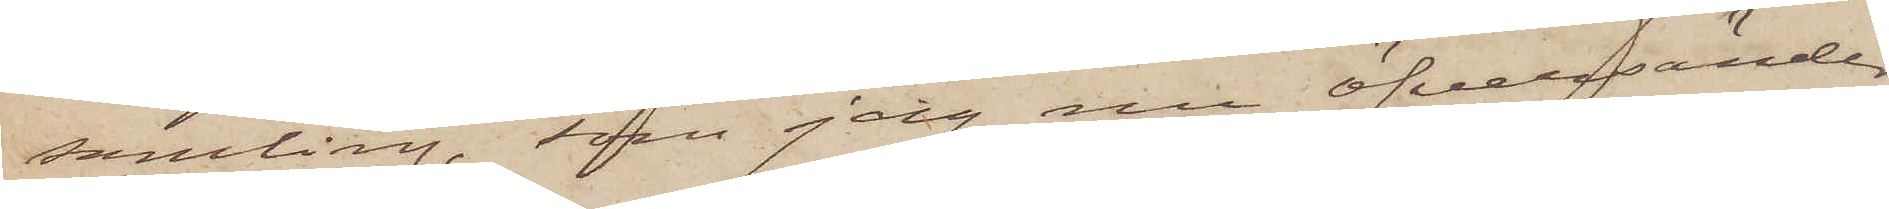samling, som jag nu öfversänder
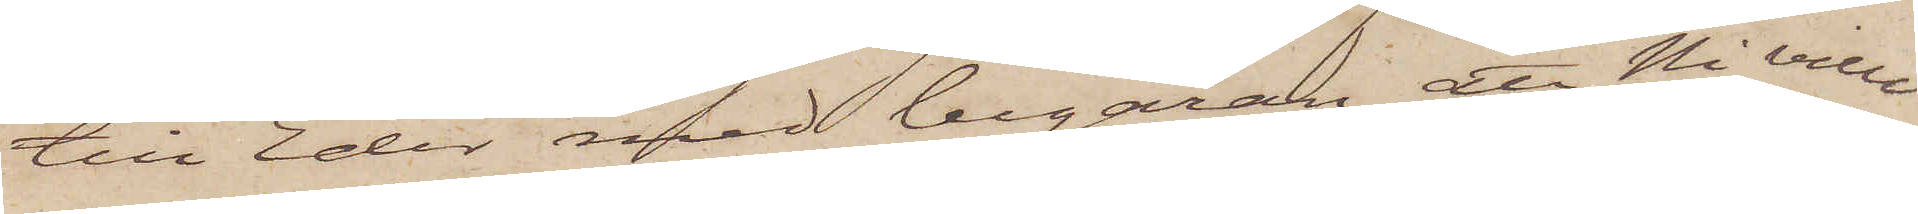till Eder med begäran att Ni ville
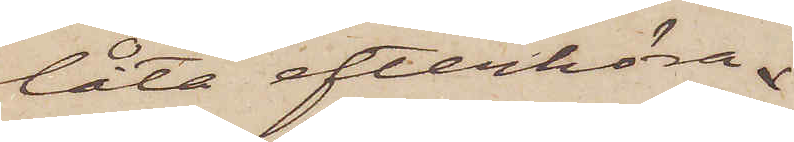låta efterhöra
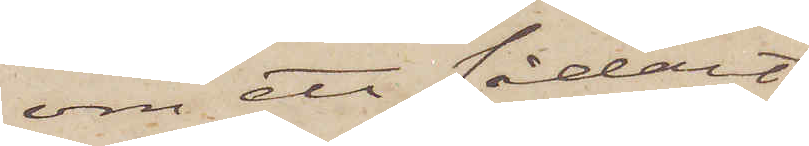om ett sådant
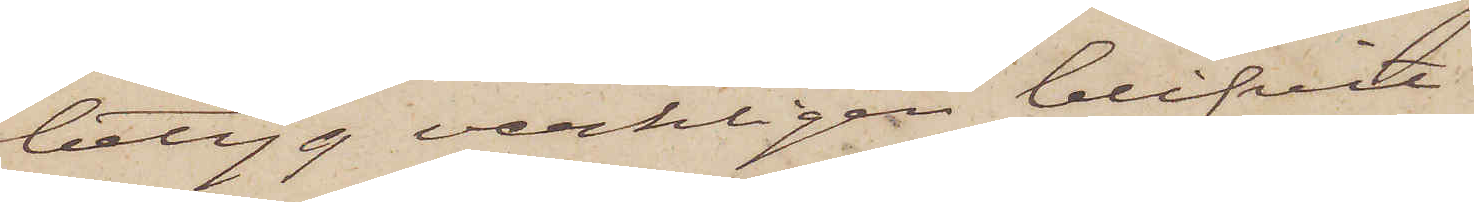betyg verkligen blifvit
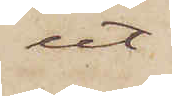ut¬
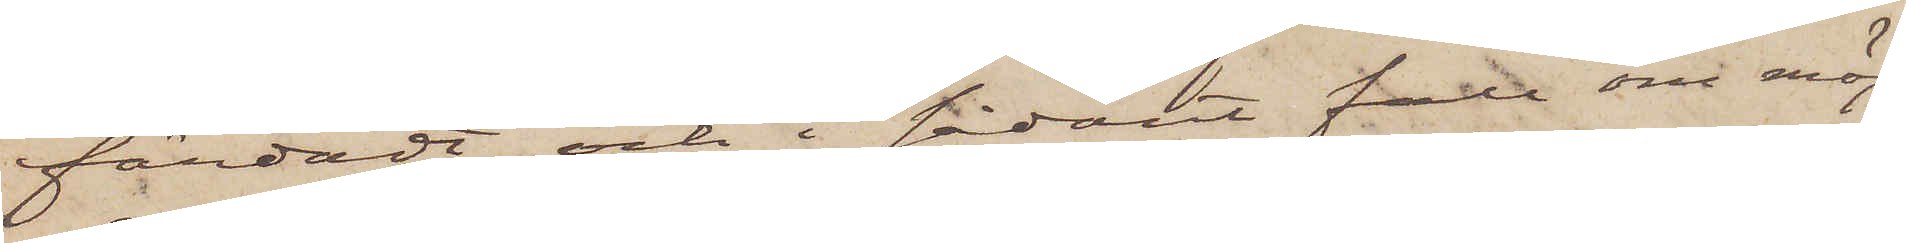färdadt och i sådant fall om möj¬
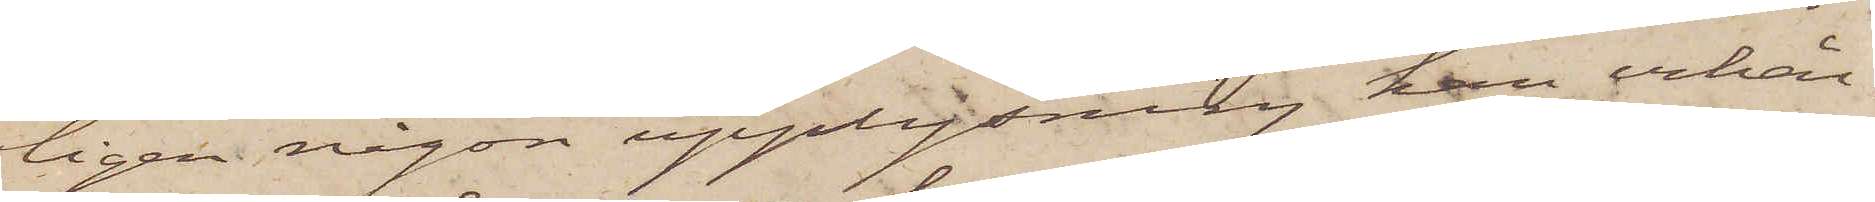ligen någon upplysning kan erhål¬
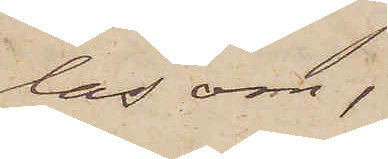las om,
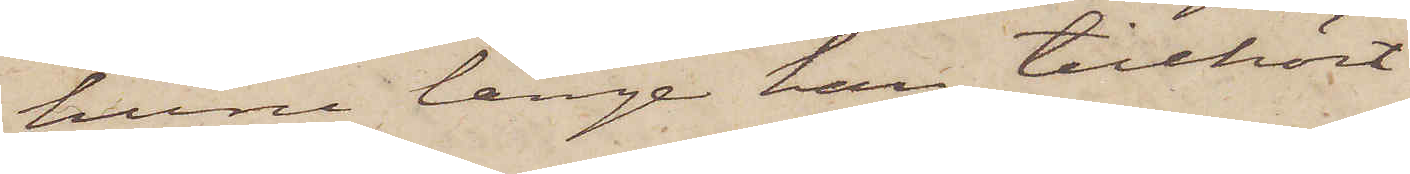huru länge han tillhört
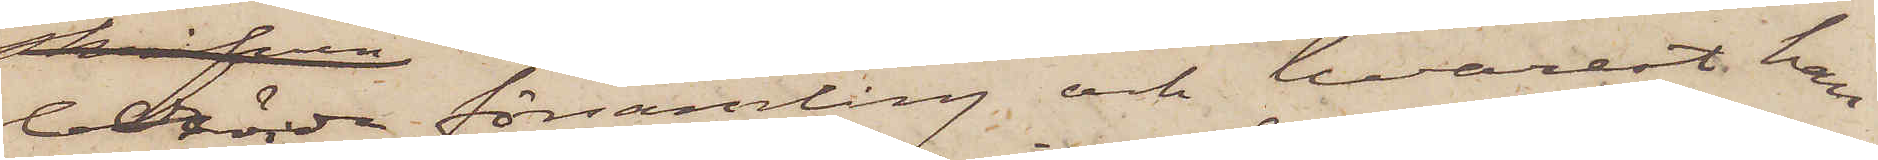berörda församling och hvarest han
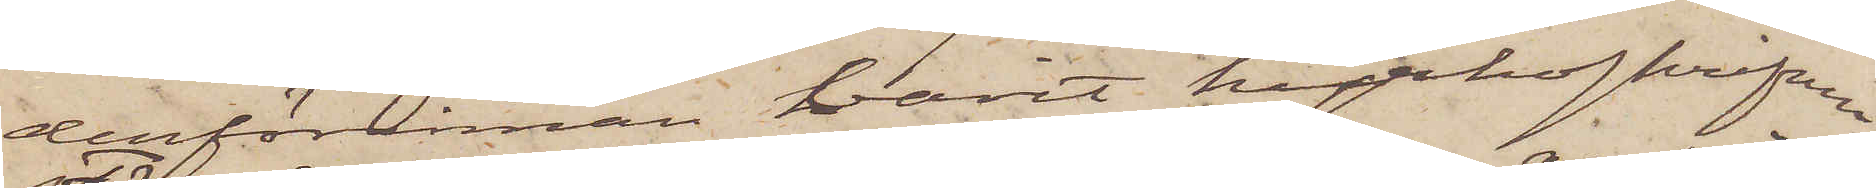dessförinnan varit kyrkoskrifven.
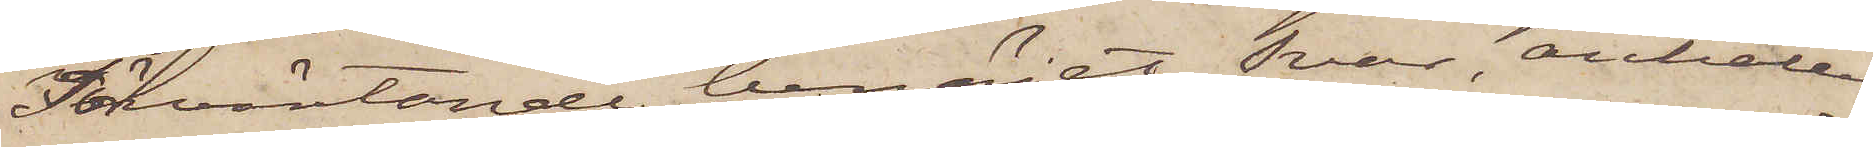Förväntande benäget Svar, anhåller
